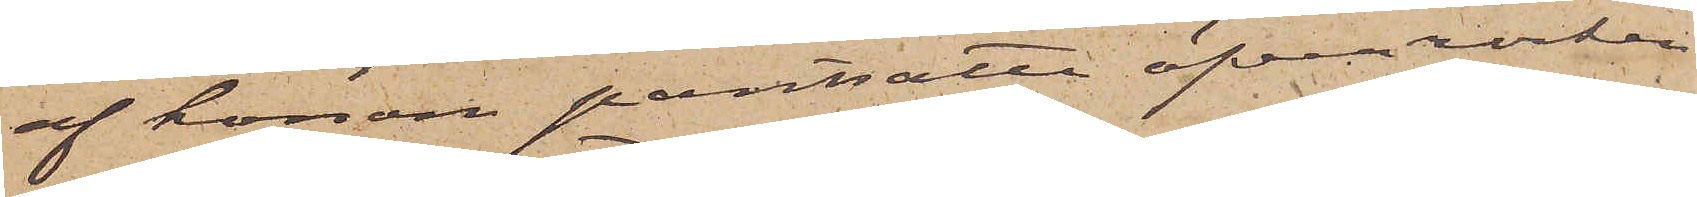af honom pantsatta öfverrocken
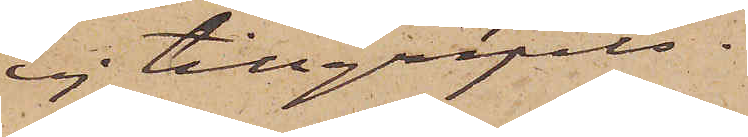ej tillgripits.
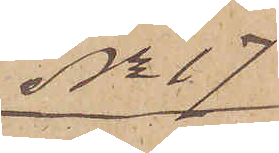No 17
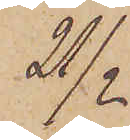21/2
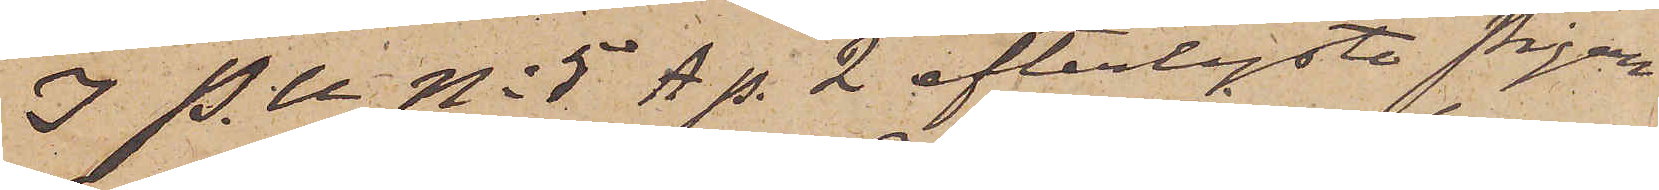I P. U. No 5 A p. 2 efterlysta Pigan
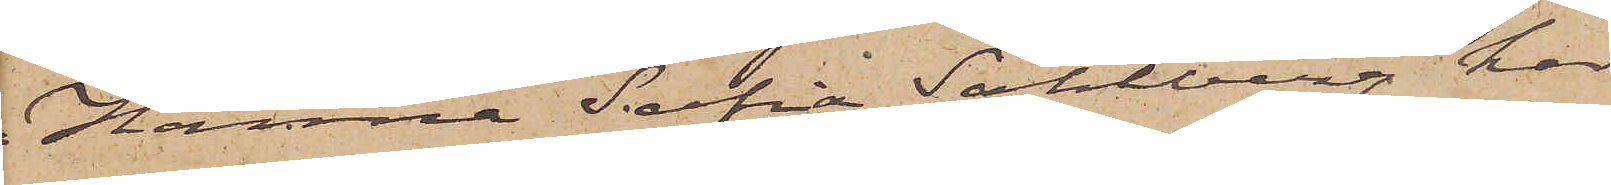Hanna Sofia Sahlberg har
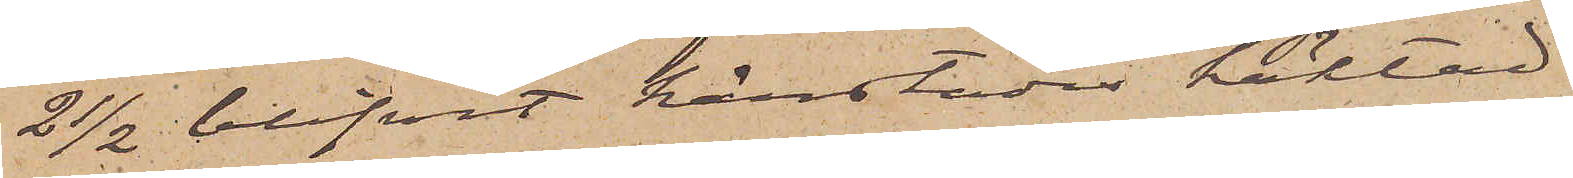21/2 blifvit härstädes häktad
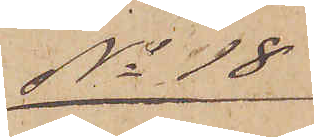No 18
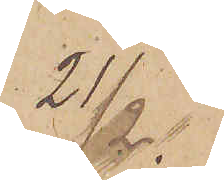21/2.
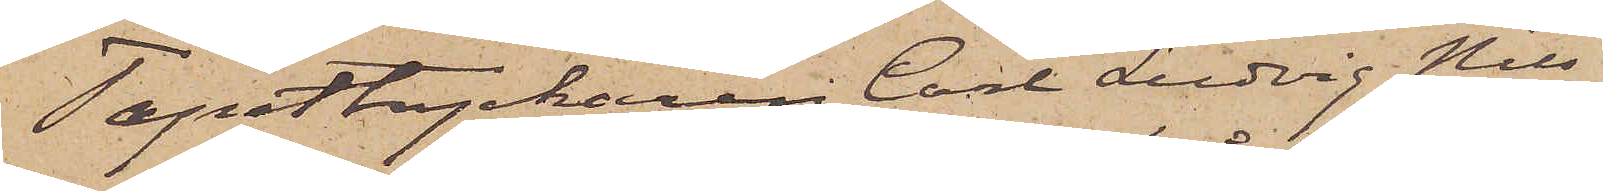Tapettryckaren Carl Ludvig Nils¬
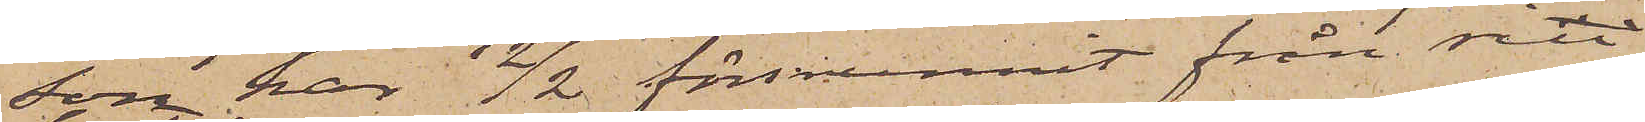son har 2/2 försvunnit från sin
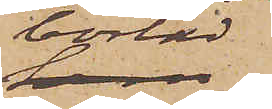bostad
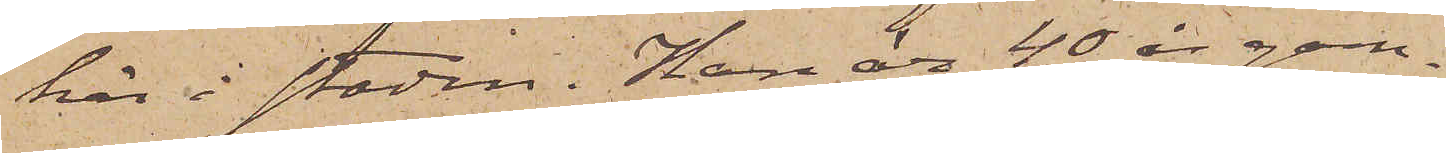här i staden. Han är 40 år gam¬
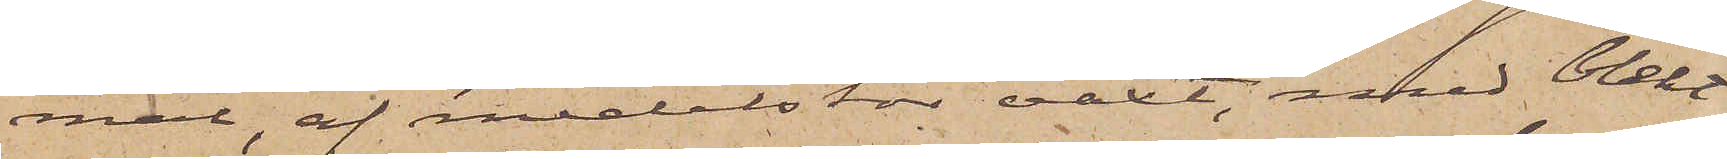mal, af medelstor växt, med blekt
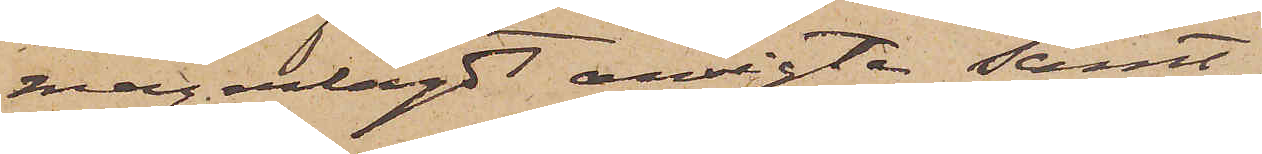magerlagdt ansigte samt
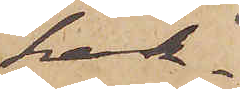hak¬
